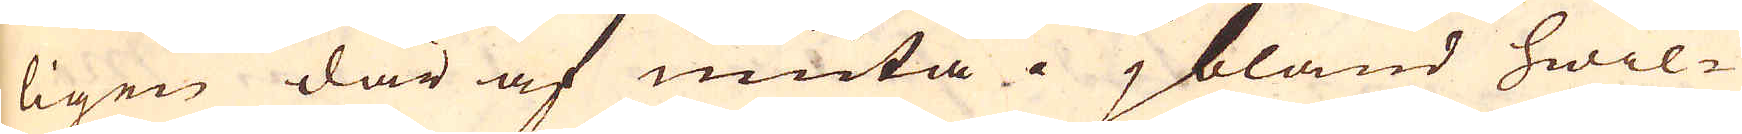ligen där af niuta; jbland hwil-
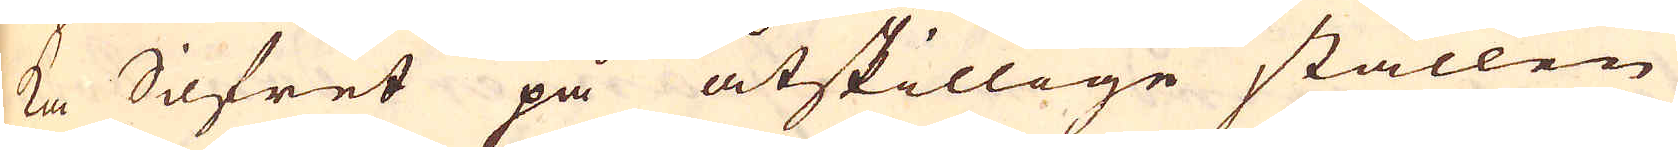ka Silfret på åtskillige ställen
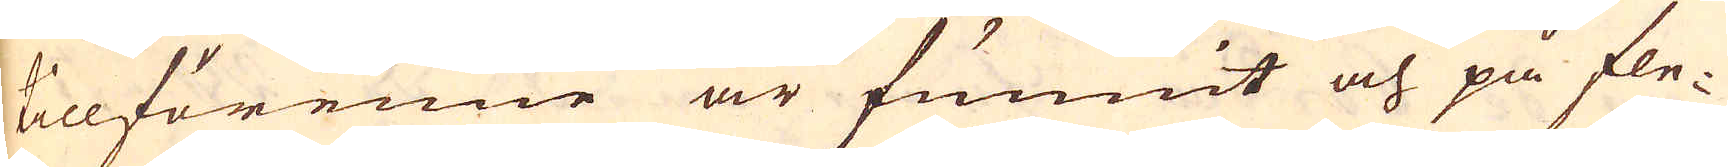tillförenne är funnit och på fle-
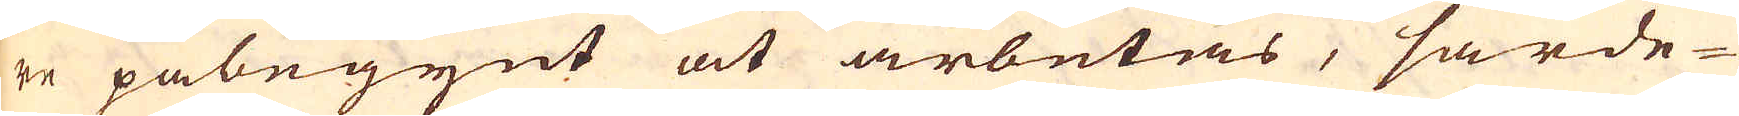re påbegynt at arbetas, särde-
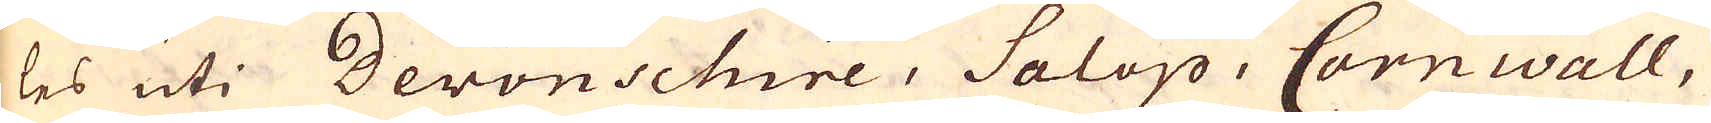les uti Devonschire, Salop, Cornwall,
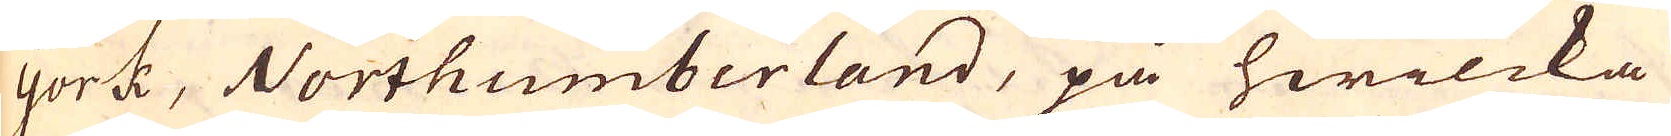York, Northumberland, på hwilcka
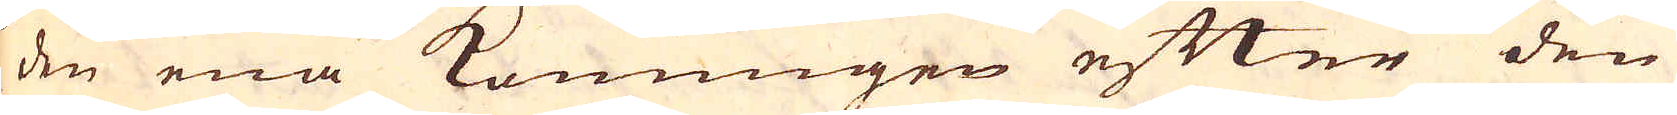den ena Konungen efter den
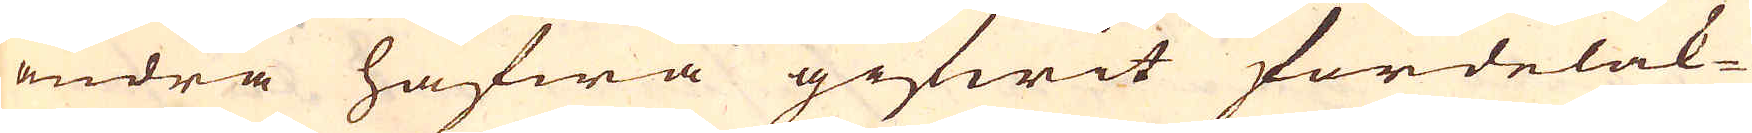andra hafwa gifwit fördelak-
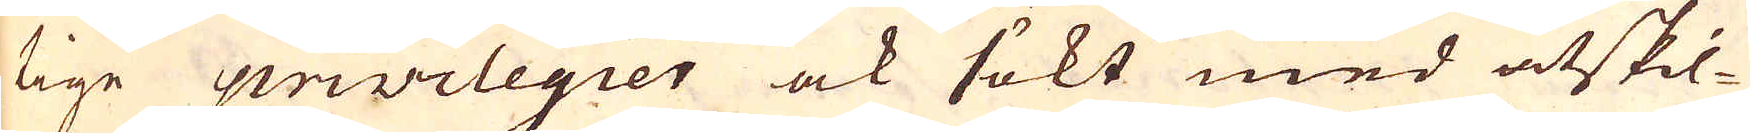tige privilegier ock sökt med åtskil-
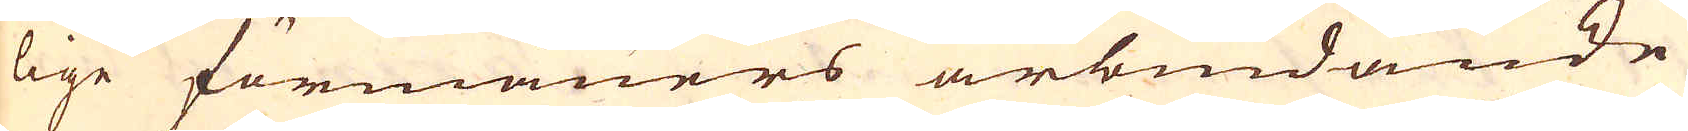lige förmåners ärbiudande
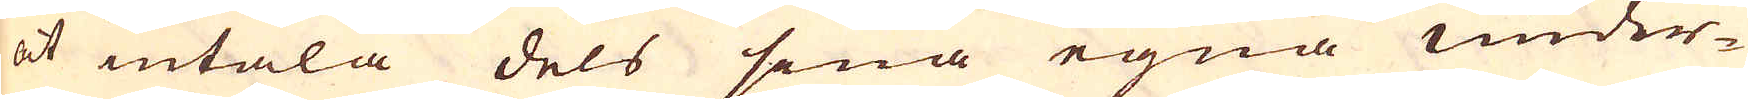at intala dels sina egna under-
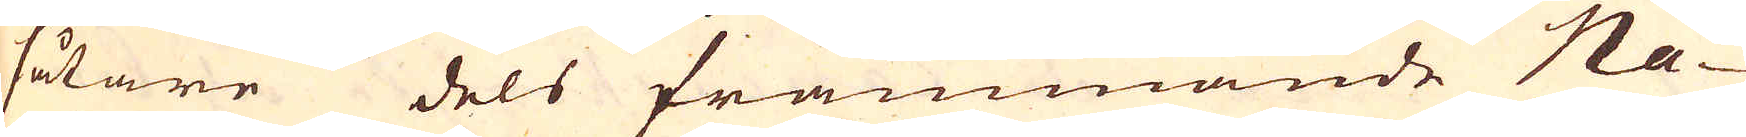såtare dels främmande Na-
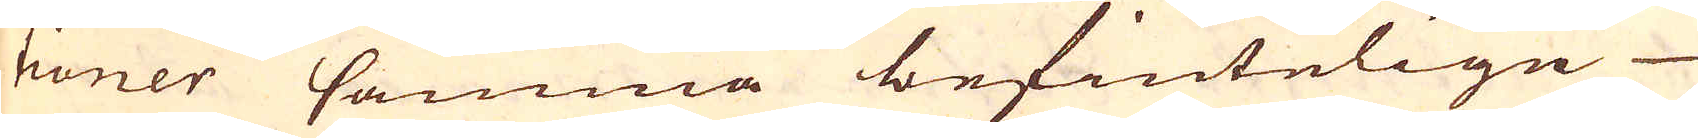tioner samma befintelige
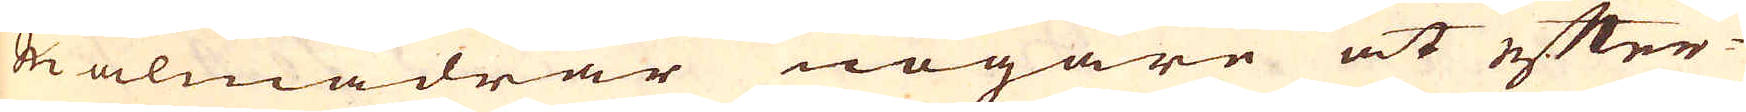malmådrar nogare at efter-
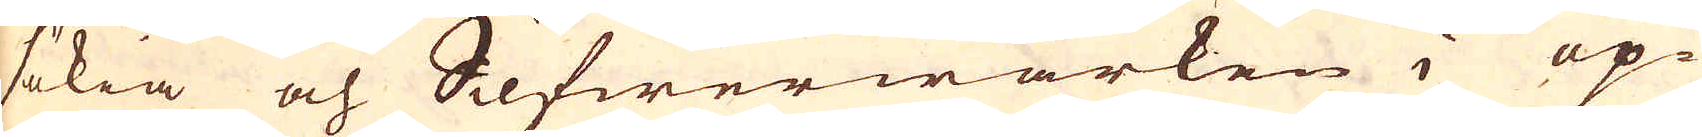sökia och Silfwerwärken i op-
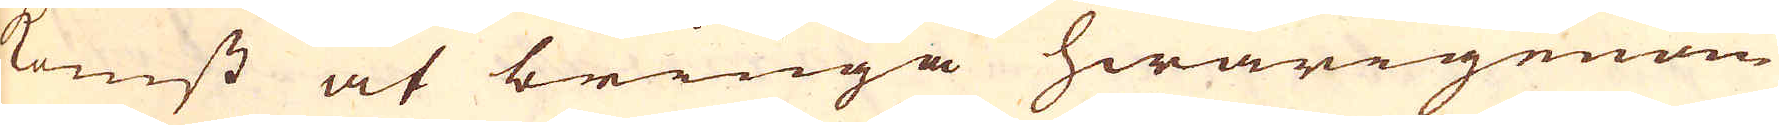komst at bringa hwarigenom
